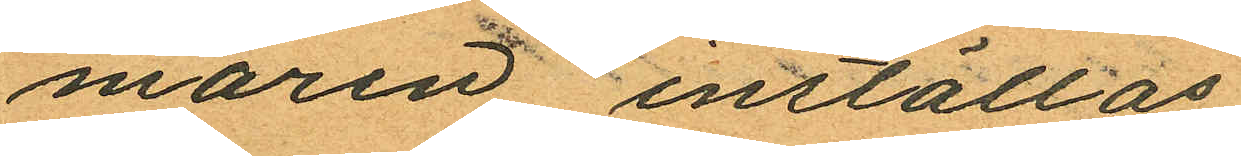maren inställas.
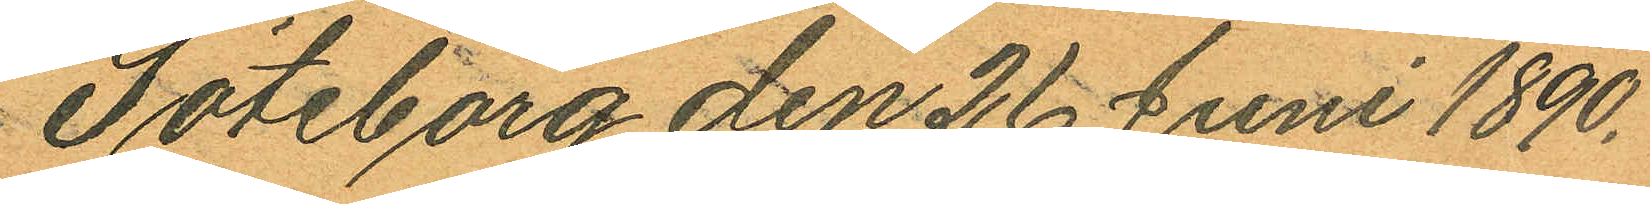Göteborg den 26 Juni 1890.
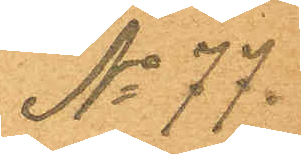No 77.
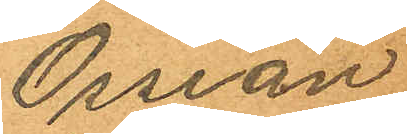Ossian
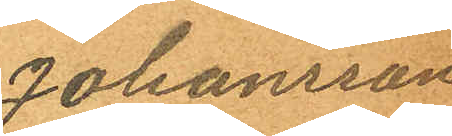Johansson
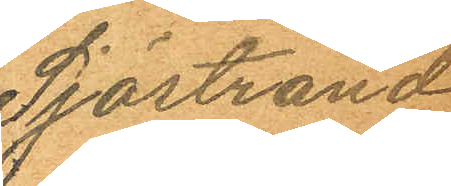Sjöstrand.
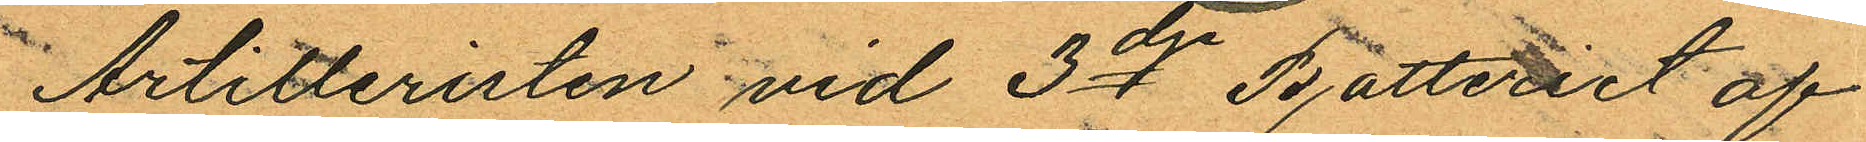Artilleristen vid 3dje Batteriet af
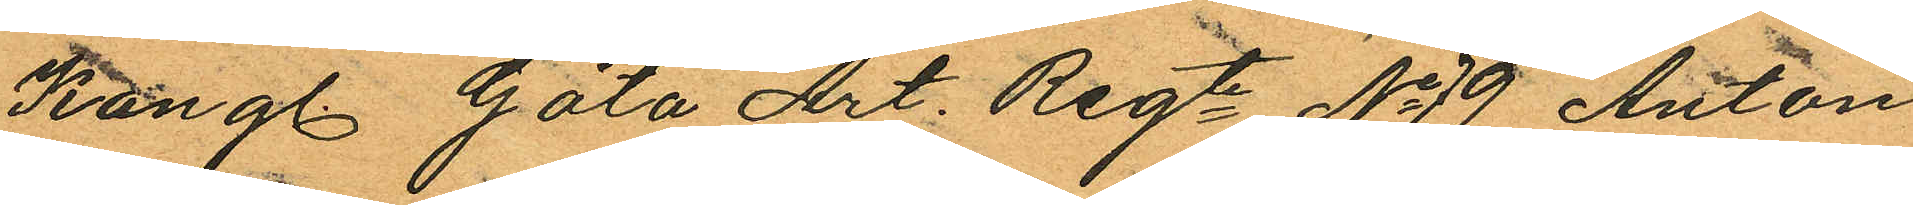Kungl. Göta Art. Regte No 9 Anton
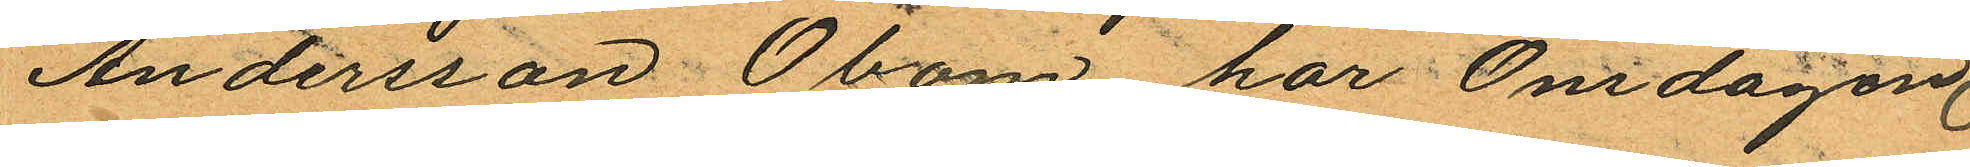Andersson Öbom har Onsdagen
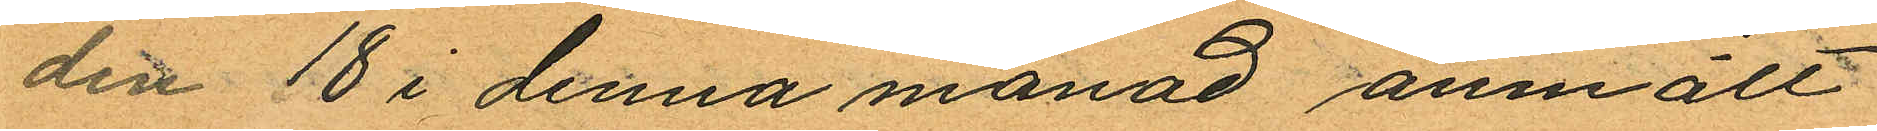den 18 i denna månad anmält
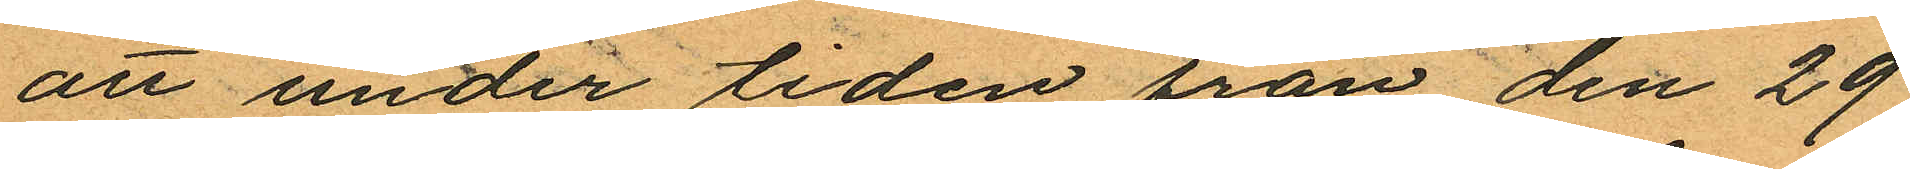att under tiden från den 29
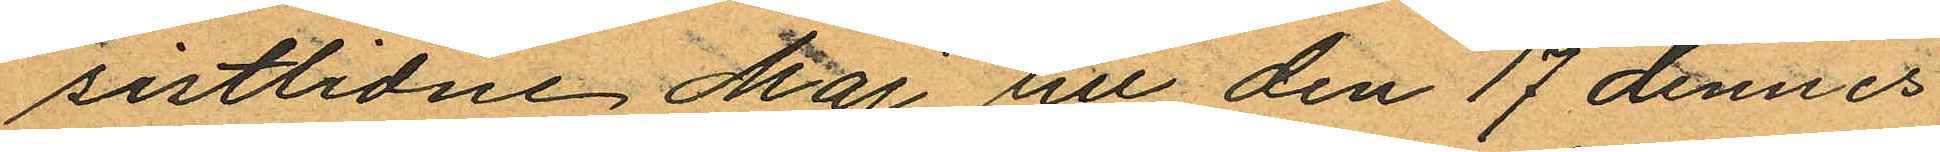sistlidne Maj till den 17 dennes
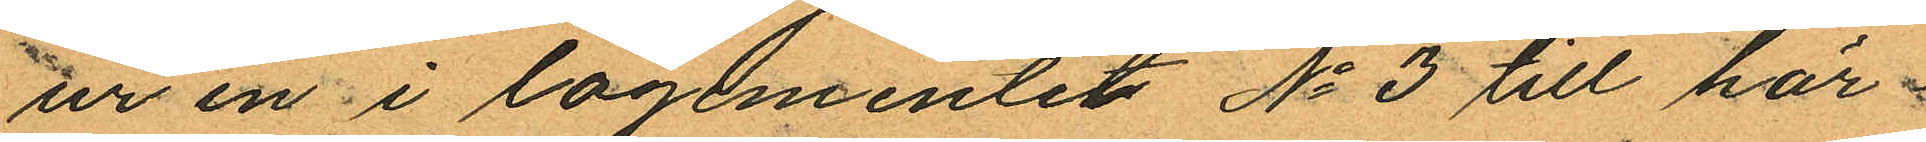ur en i logementet No 3 till här¬
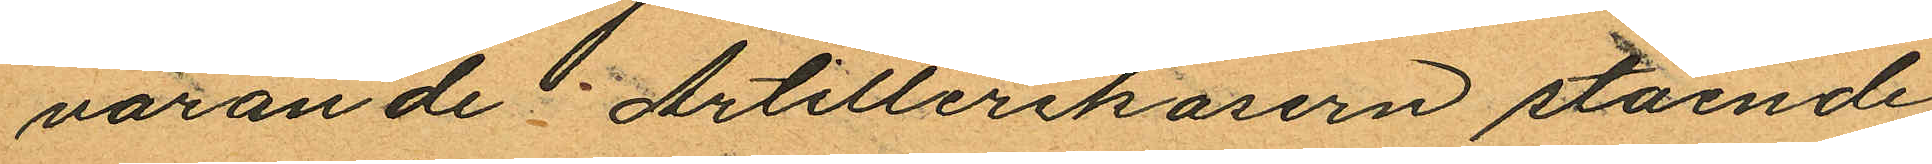varande Artillerikasern stående
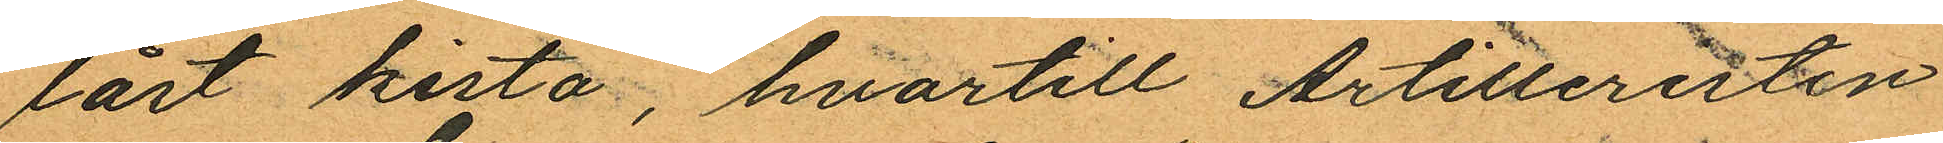låst kista, hvartill Artilleristen
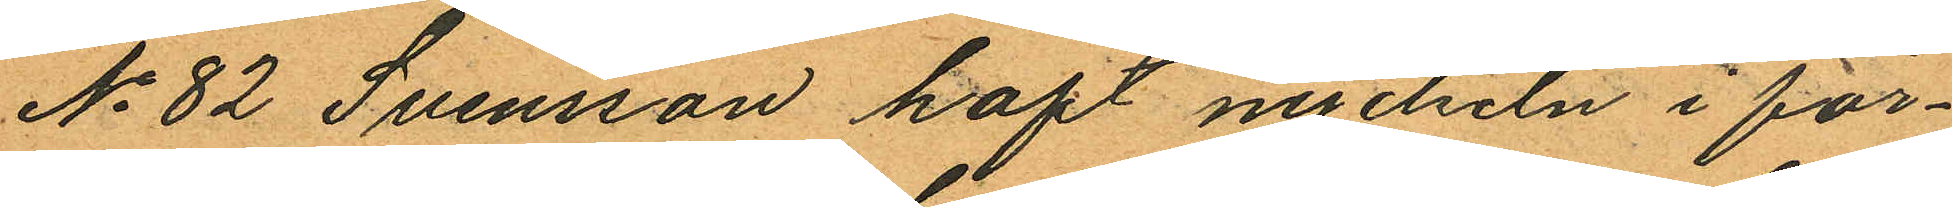No 82 Svensson haft nyckeln i för¬
